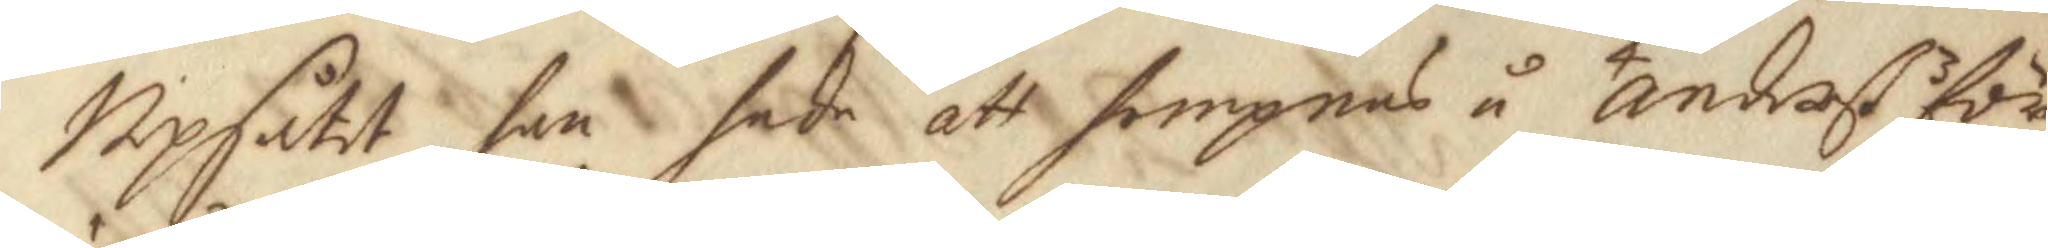Upsåtet, han hade att hempnas å Anders för
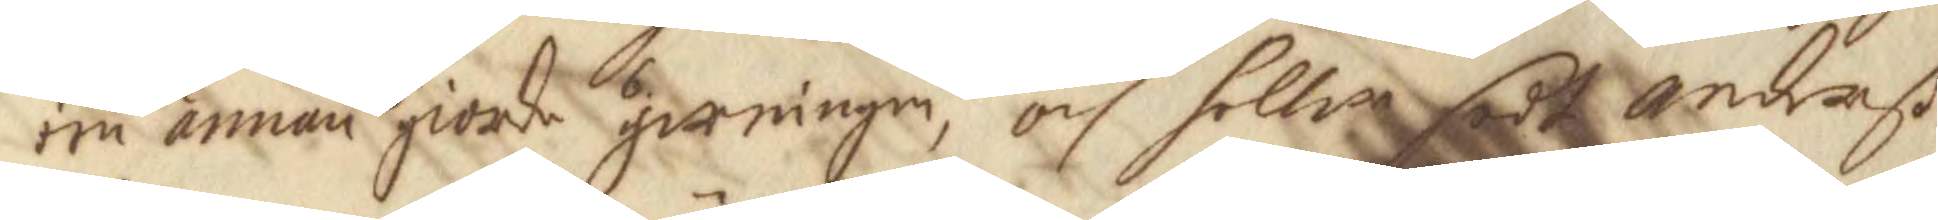een annan giorde girningen, och heller sedt Anderß
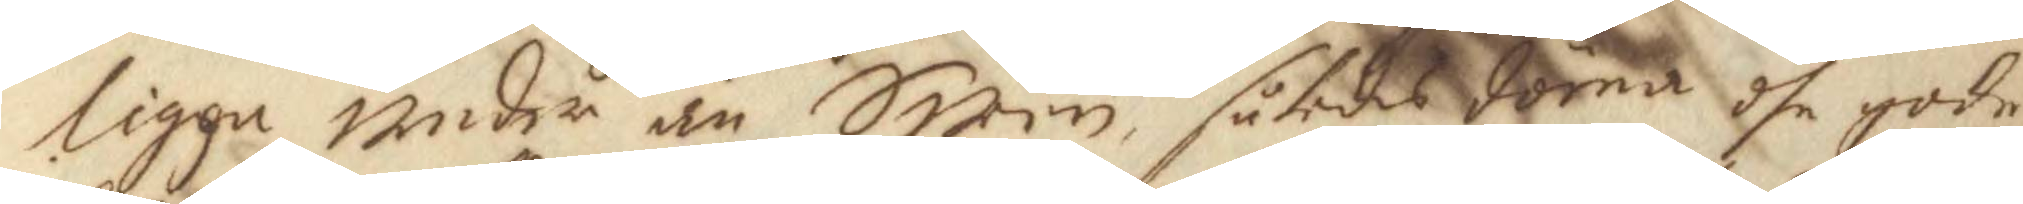ligga under än Swen, således döma dhe gode
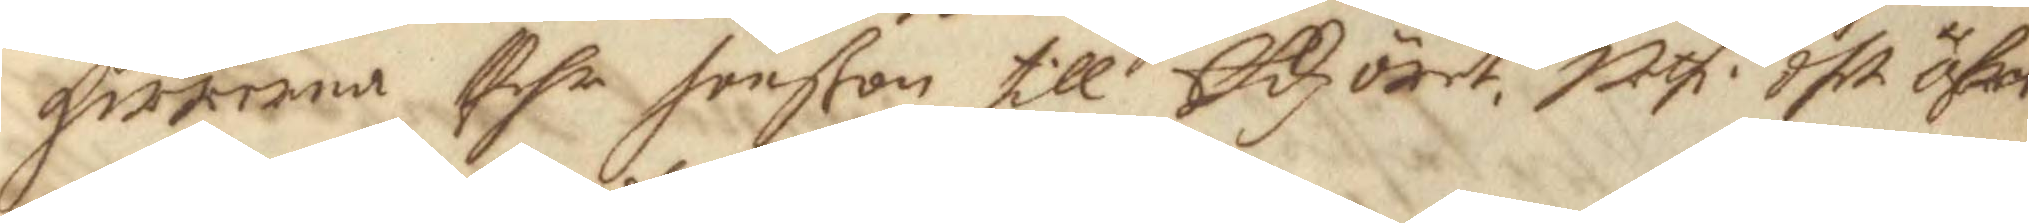herrarna Pehr Henßon till Edzöret. uthi dhet öfwr¬
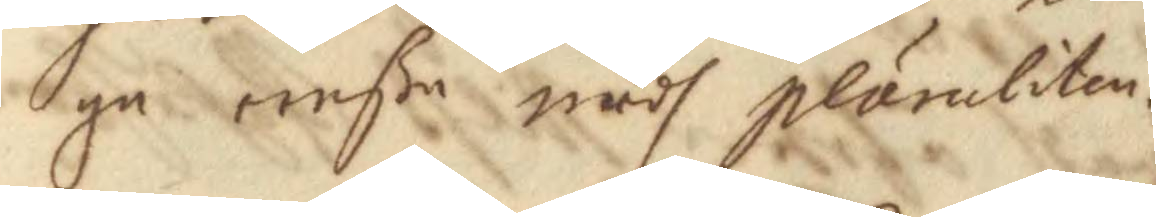ga eenße medh pluruliten.
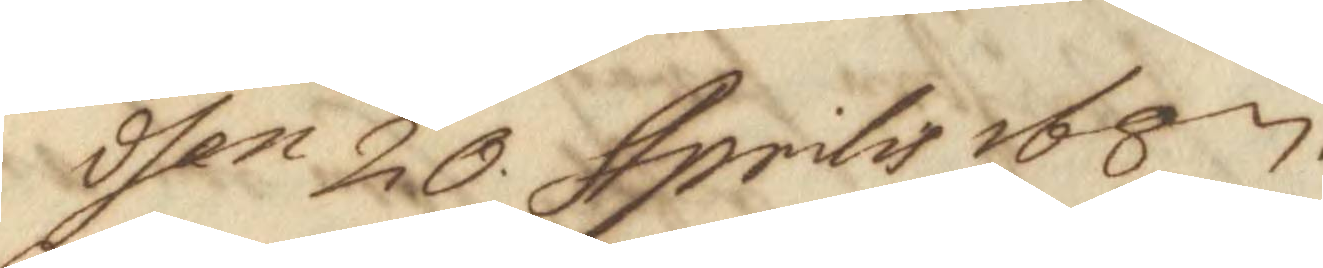dhen 20 Aprilis 1687.
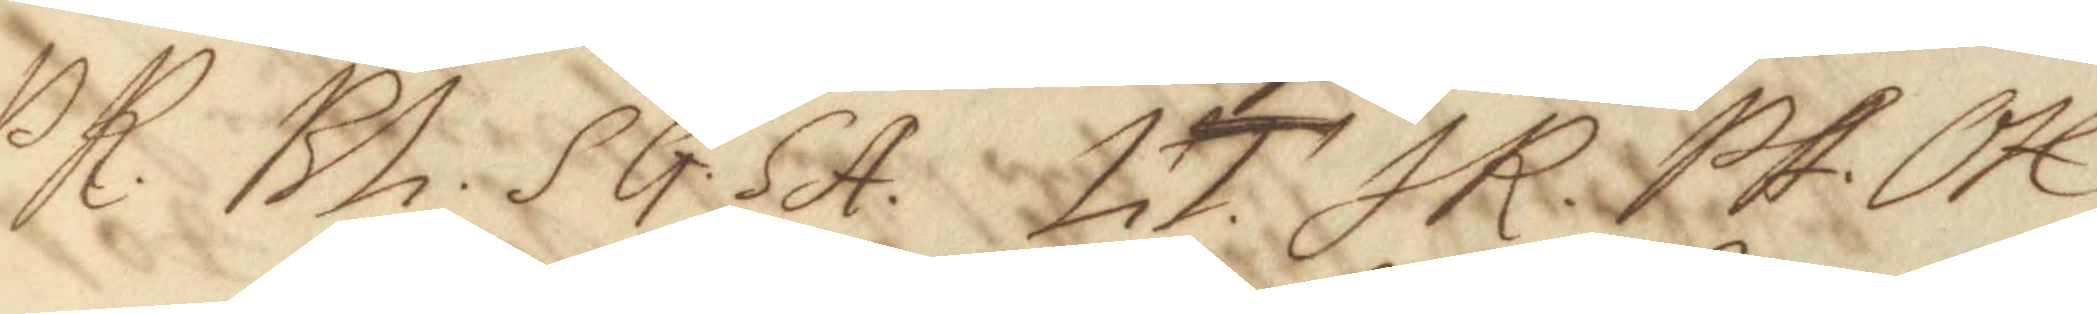PR. Bh. SG. SA. LT. JR. PA. OH.
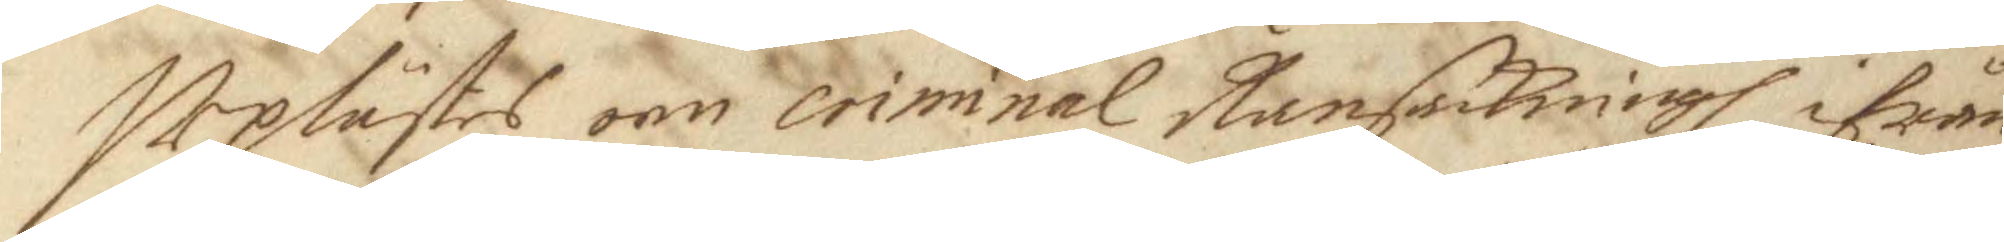Uplästes om criminal Ransakningh ifrån
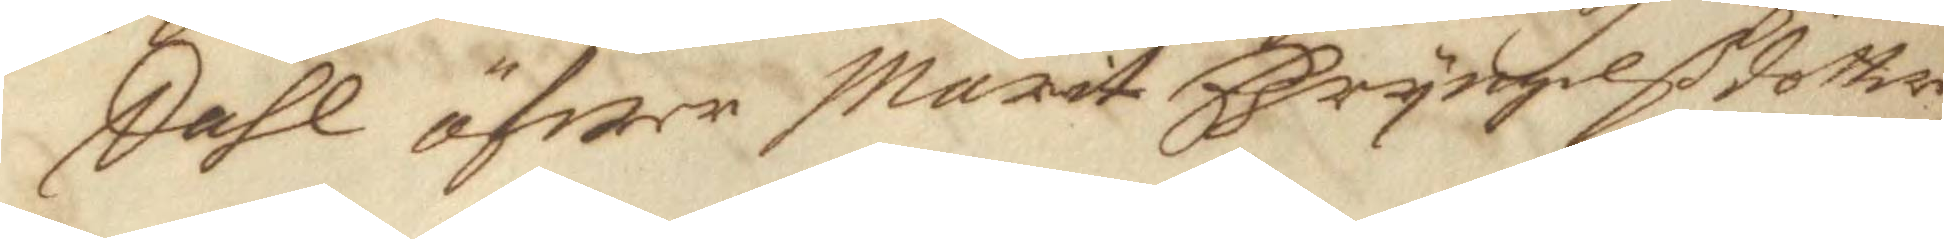Dahl öfwer Marit Bryngelßdotter,
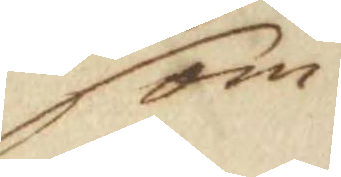som
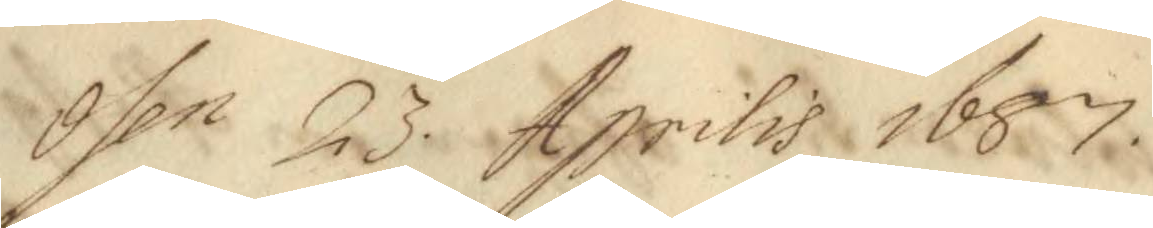Dhen 23 Aprilis 1687.
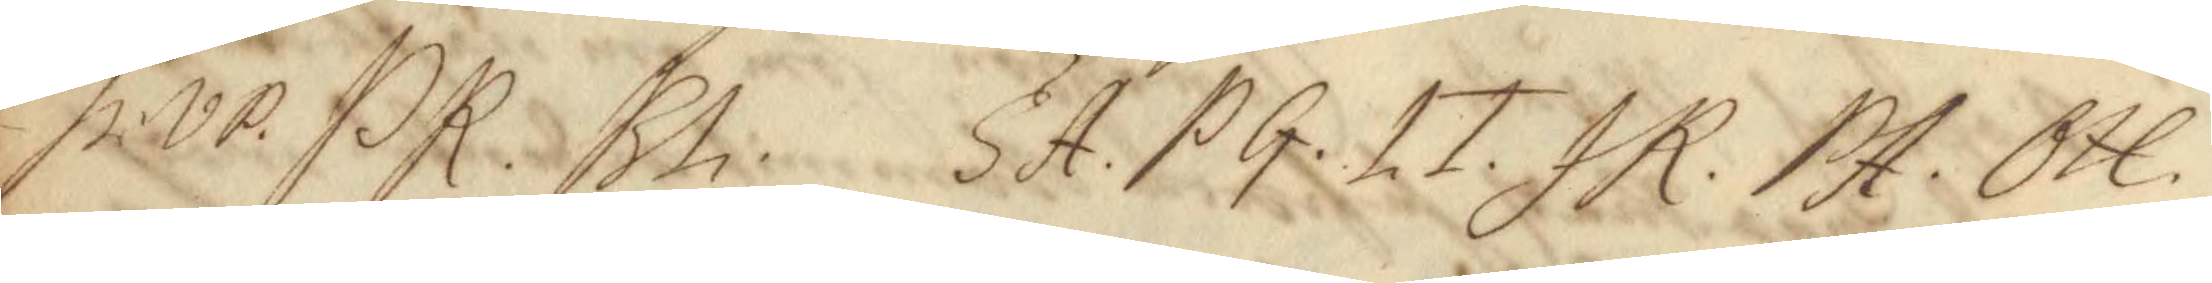hr. VP. PR. Bh. SA. PG. LT. JR. PA. OH. 
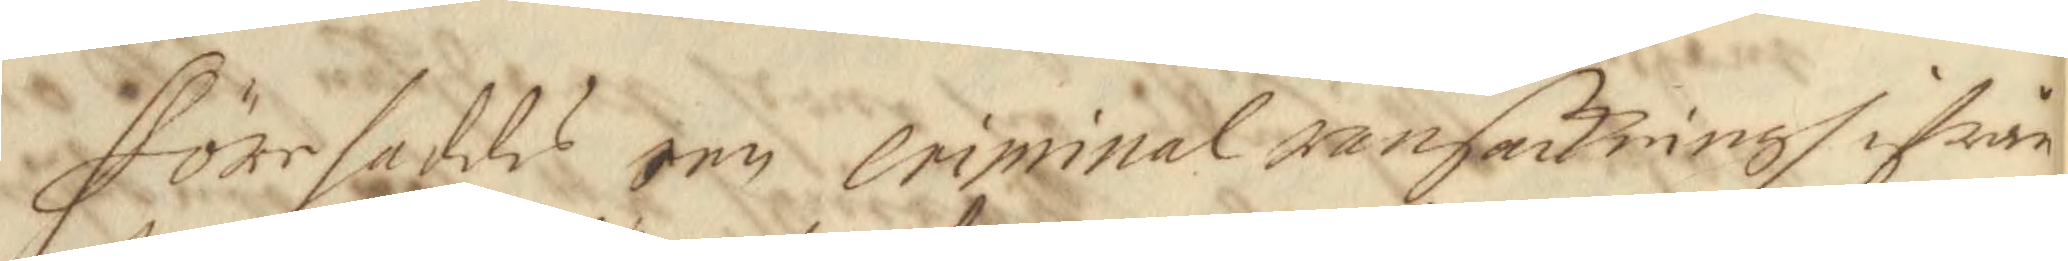Förehaddes een criminal ransakningh ifrån
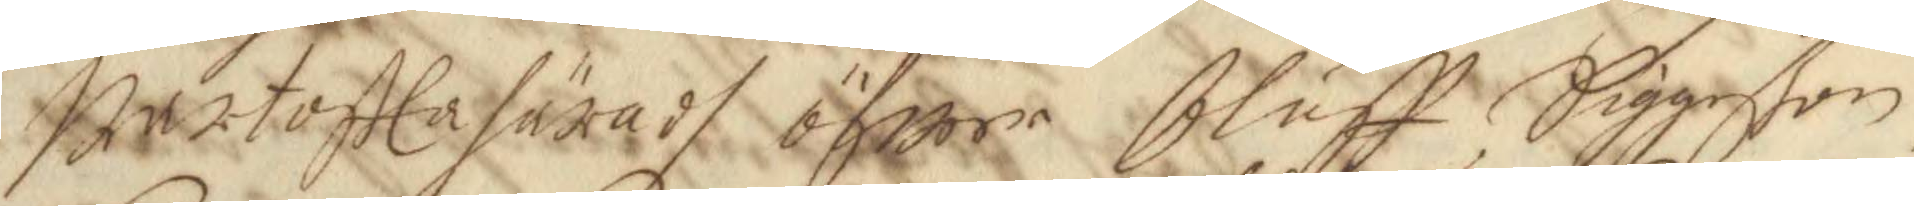Bartoftta häradh öfwer Oluff Siggeßon,
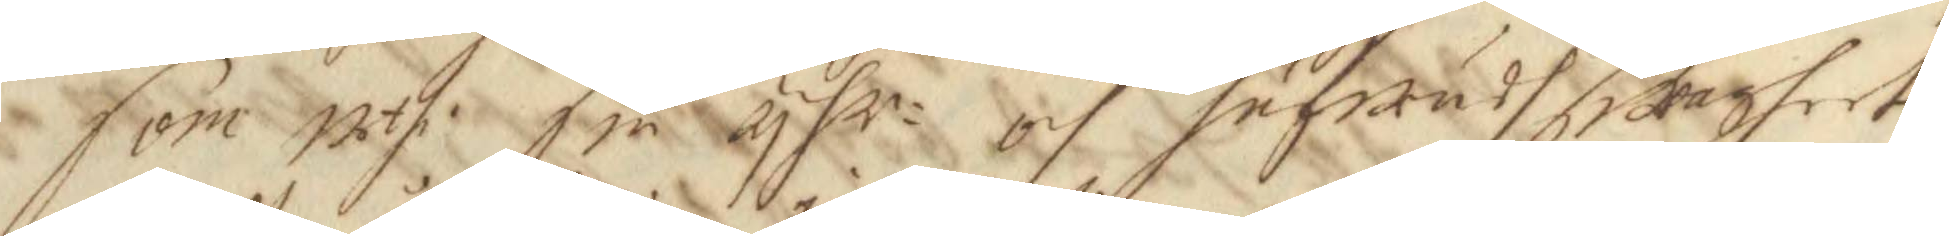som uthi sin yhr- och hufwudswagheet,
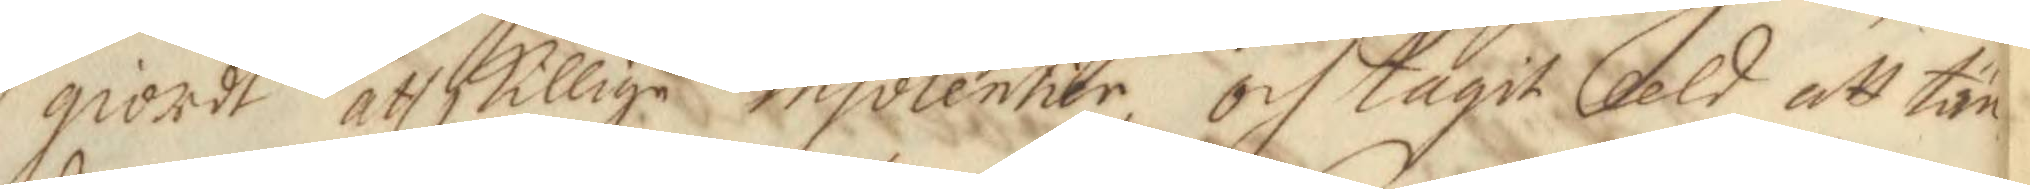giordt åtskillige insolentier och tagit eeld att tän¬
